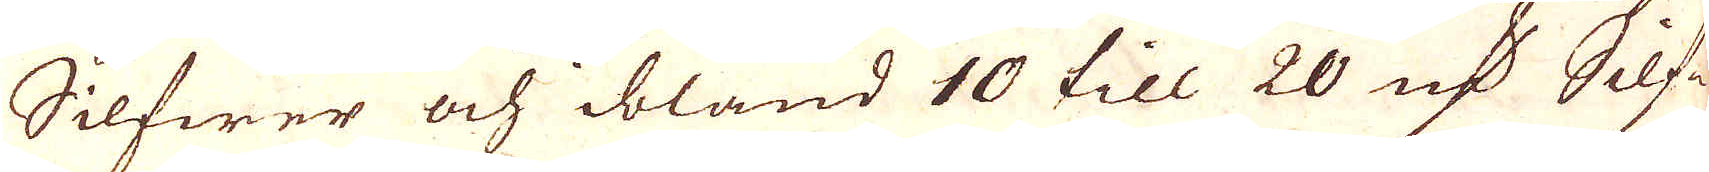Silfwer och ibland 10 till 20 qv:r Silfe-
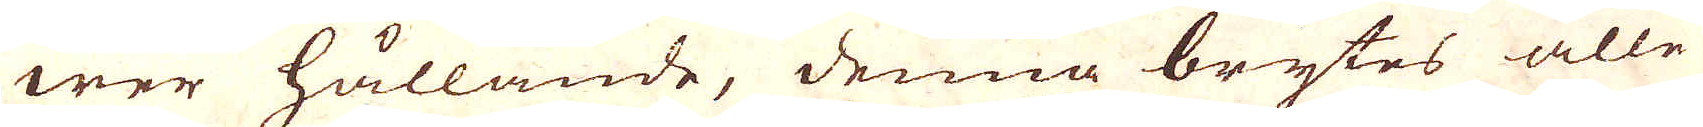wer hållande, denna brytes alle-
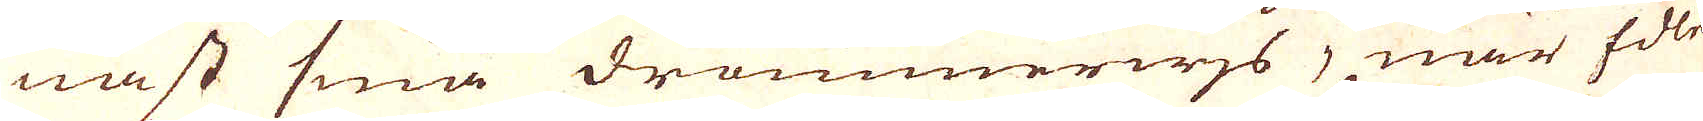nast små drommerwjs, när Edle
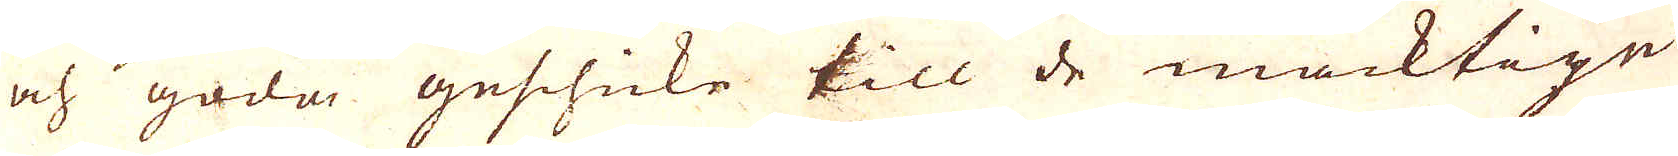och goda geschicke till de mäcktige
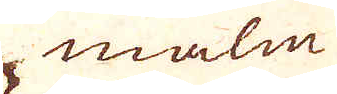malm
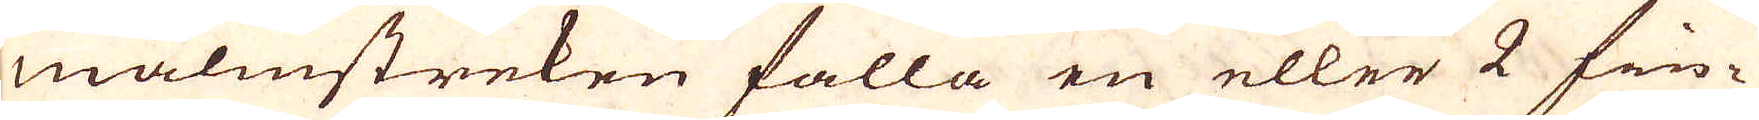malmstreken falla en eller 2 fin-
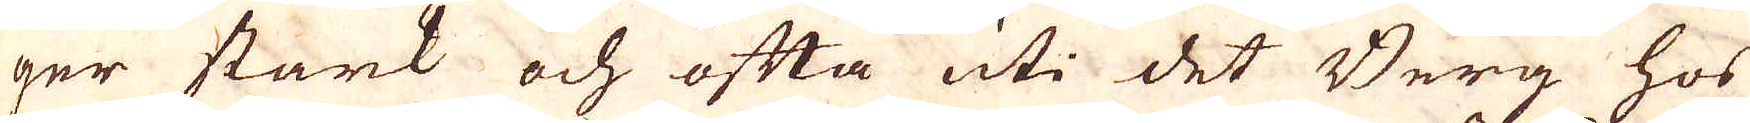ger stark och ofta uti det Berg hos
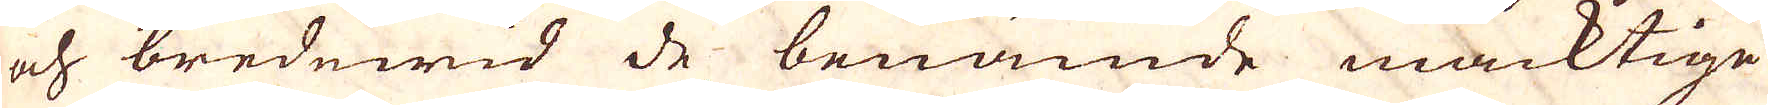och bredewid de benämde mäcktige
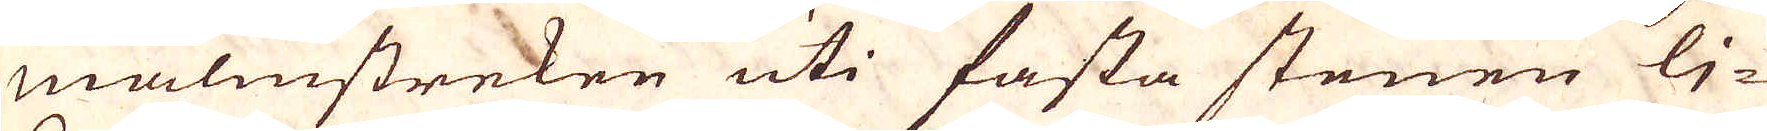malmstreken uti fasta stenen li-
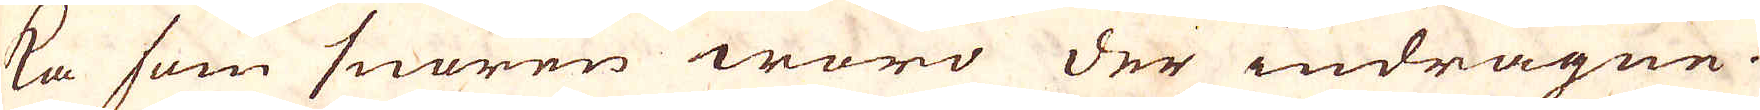ka som snören woro der indragne.
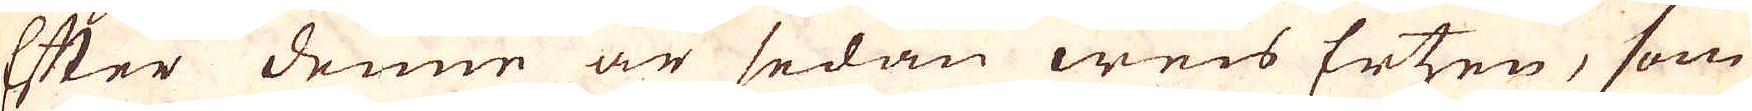Efter denne är sedan weis Ertzen, som
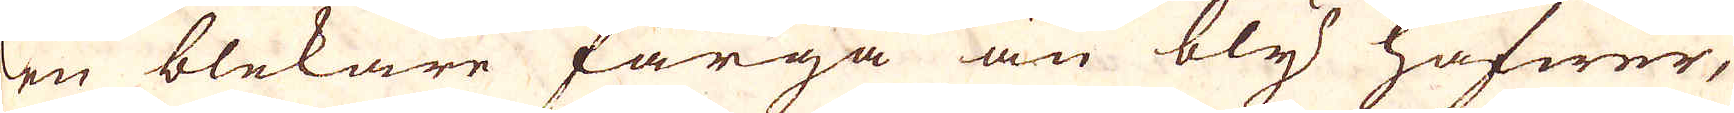en blekare färga än bly hafwer,
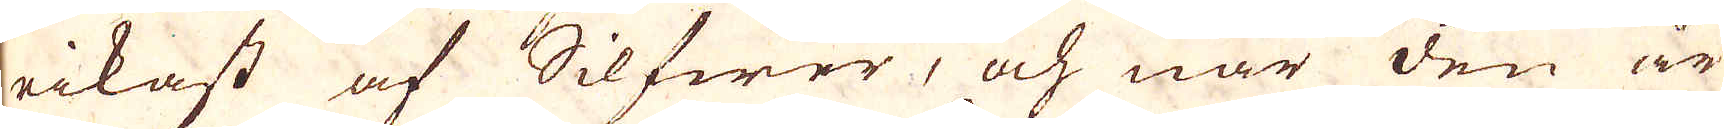rikast af Silfwer, och när den är
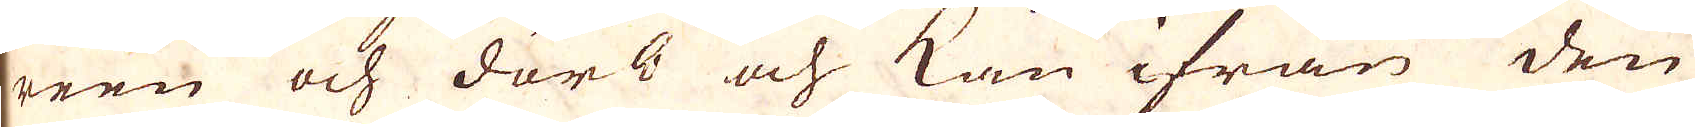reen och därb och kan ifrån den
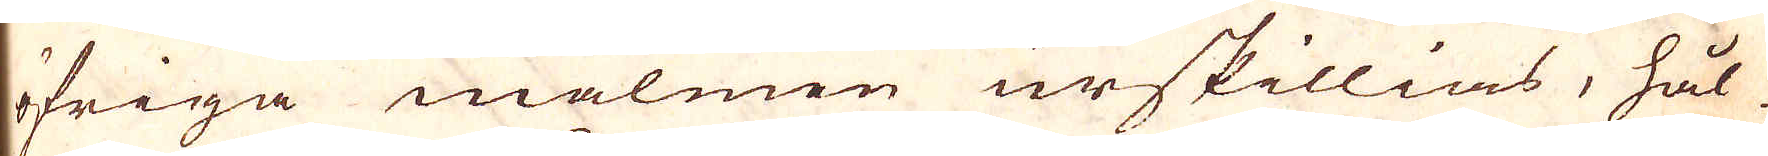öfriga malmen urskillias, hål-
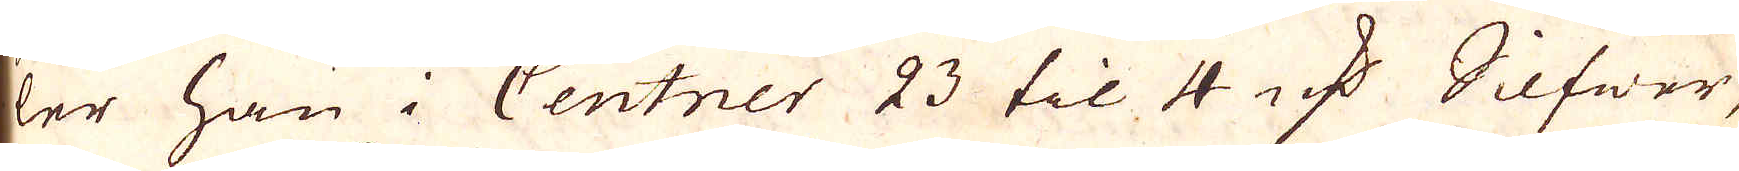ler han i Centner 23 til 4 qv:r Silfwer,
